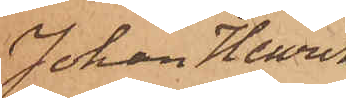Johan Henrik
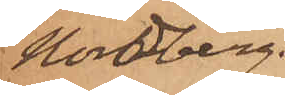Nordberg.
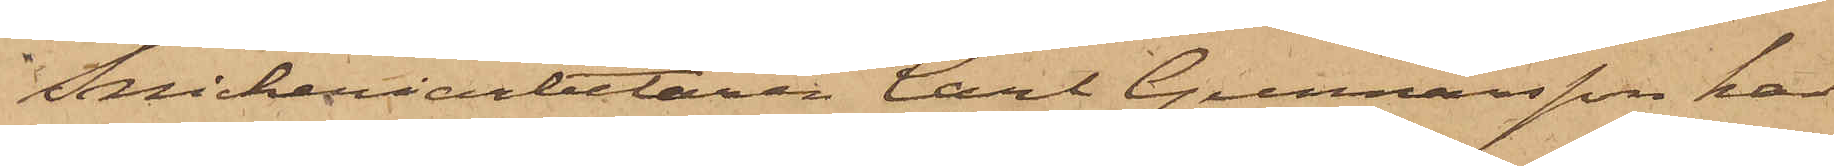Snickeriarbetaren Carl Gunnarsson har
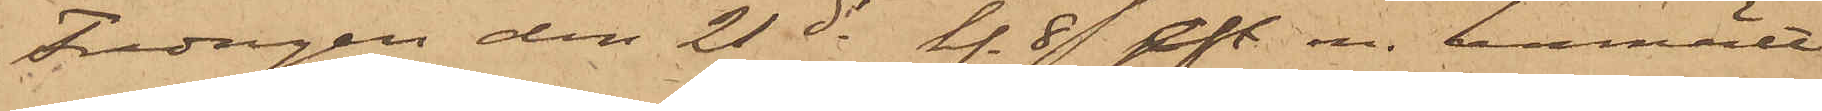Fredagen den 21 ds kl. 89 eft m. anmält
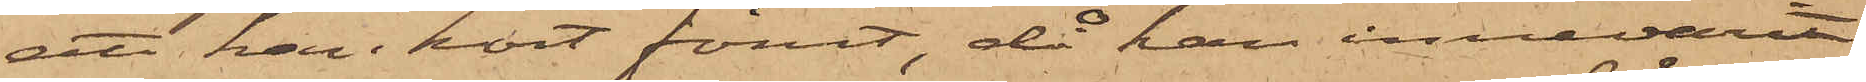att han kort förut, då han innevarit
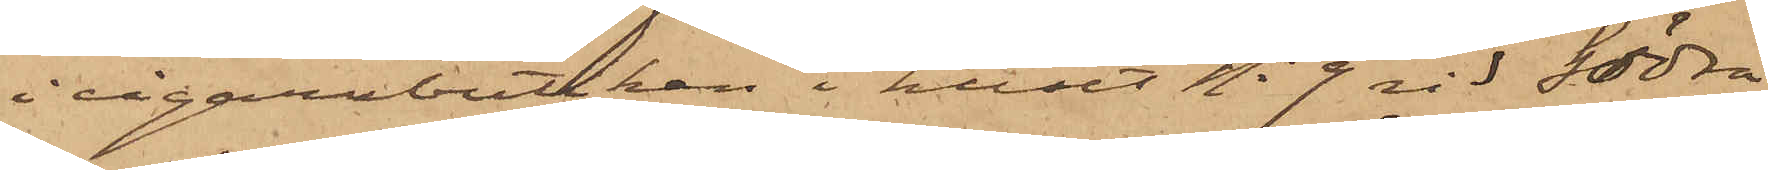i cigarrbutiken i huset No 9 vid Södra
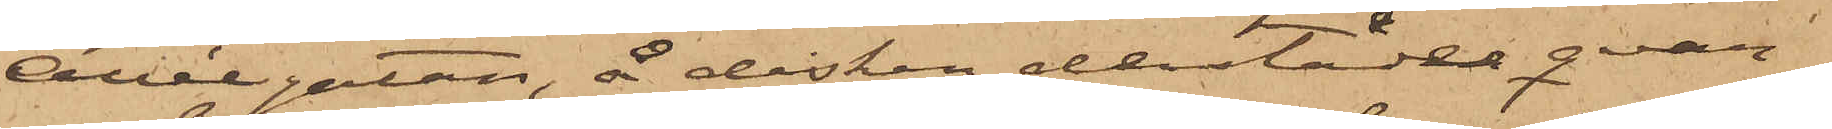Allégatan, å disken derstädes qvar¬
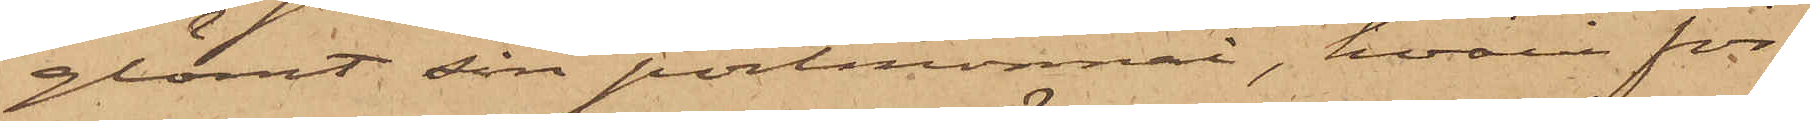glömt sin portmonnai, hvari för¬
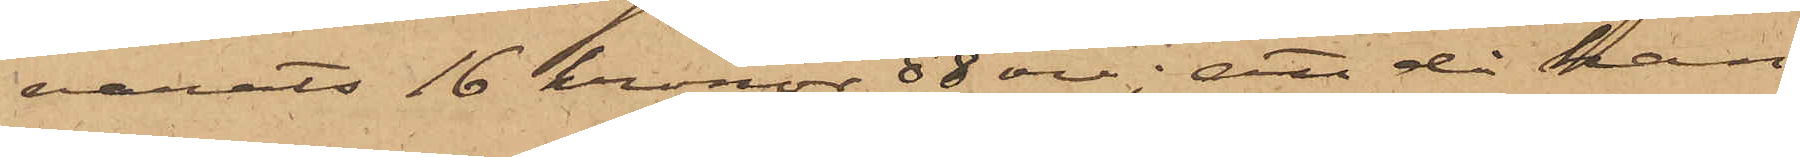varits 16 kronor 88 öre; att då han
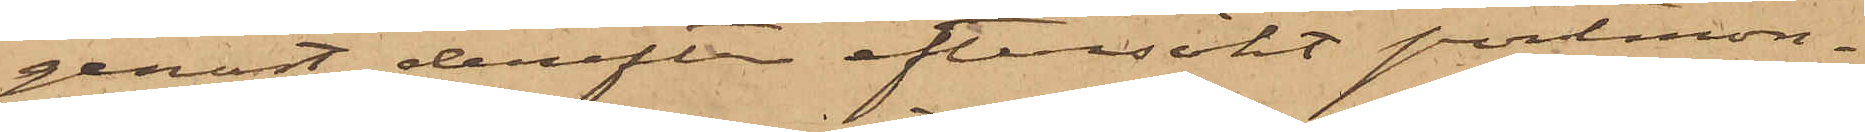genast derefter eftersökt portmon¬
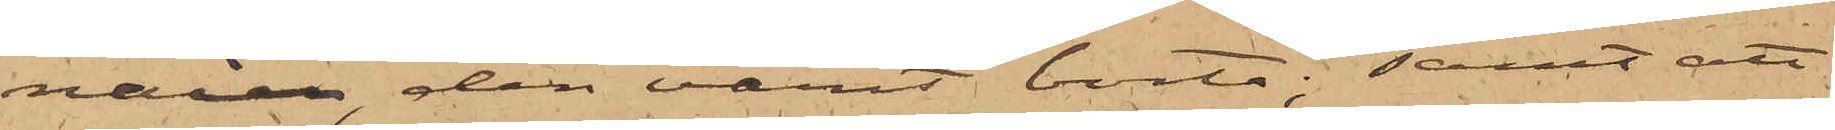naien, den varit borta; samt att
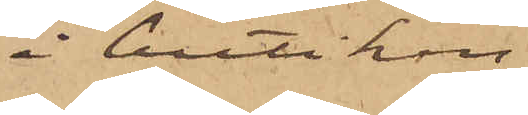i butiken
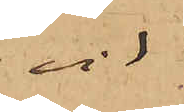vid
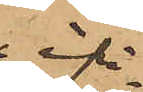ifrå¬
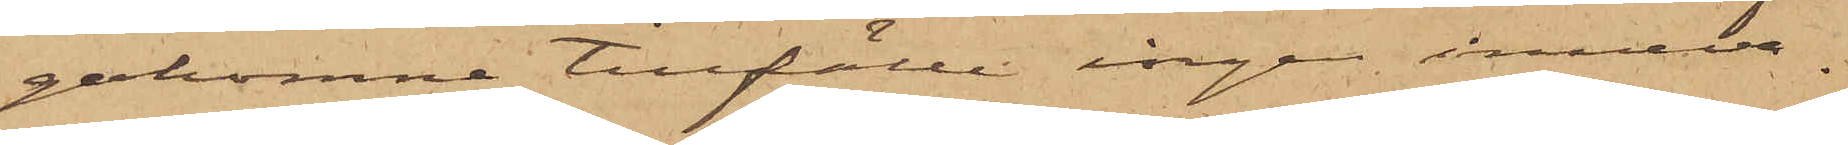gakomne tillfälle ingen inneva¬
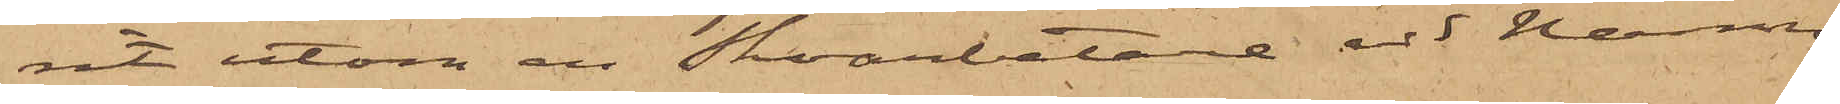rit utom en Skoarbetare vid namn
